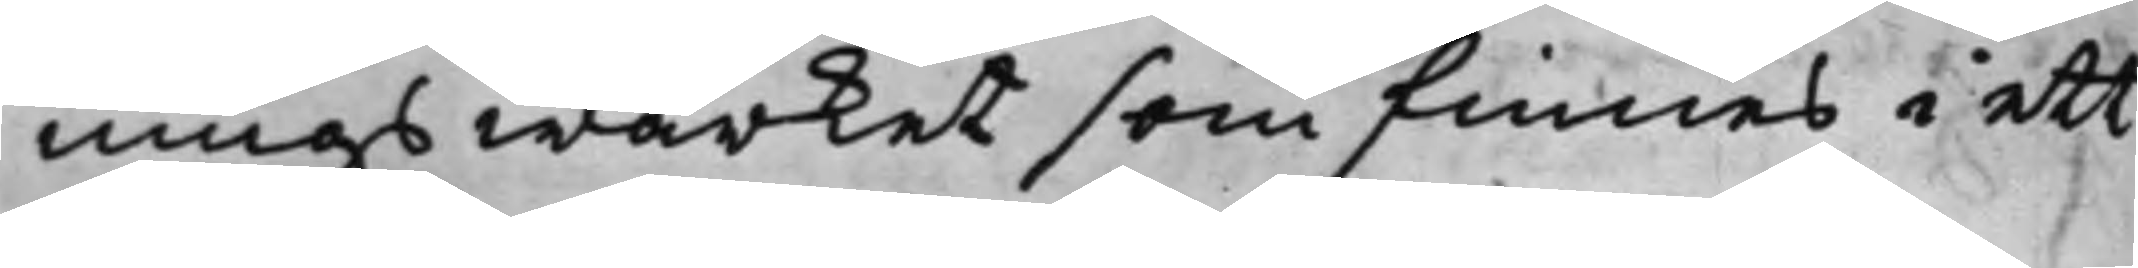ningswärket som finnes i ett
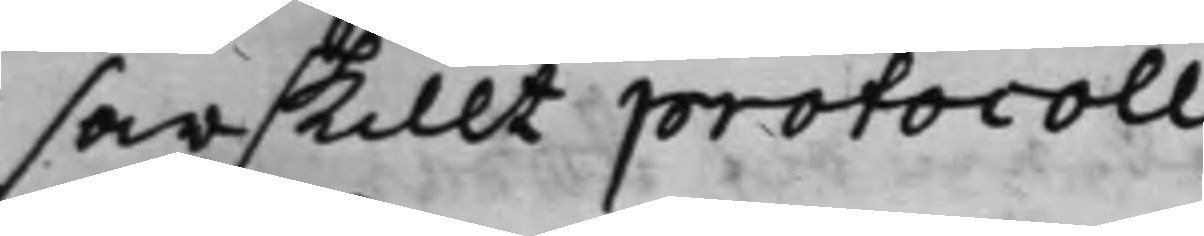särskillt protocoll.
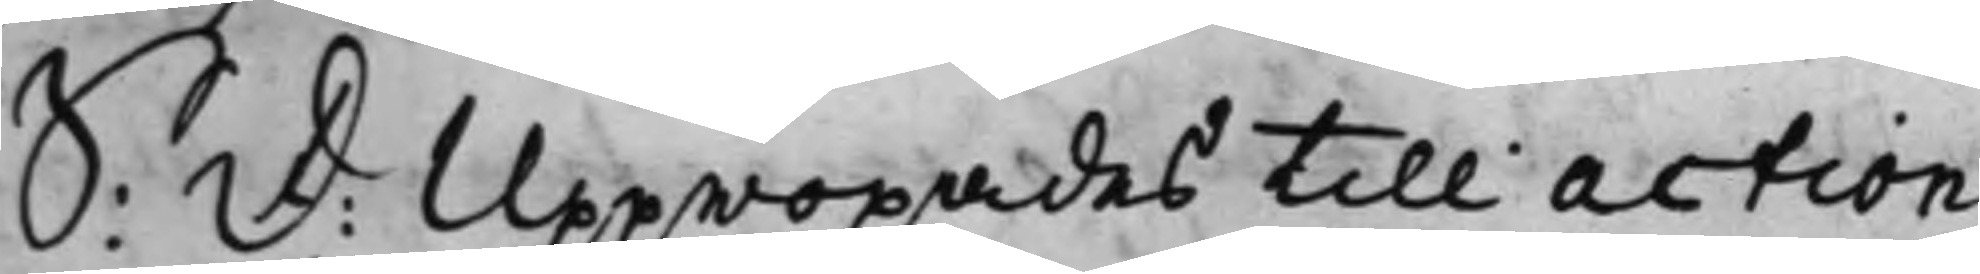S: D: Uppropades till action
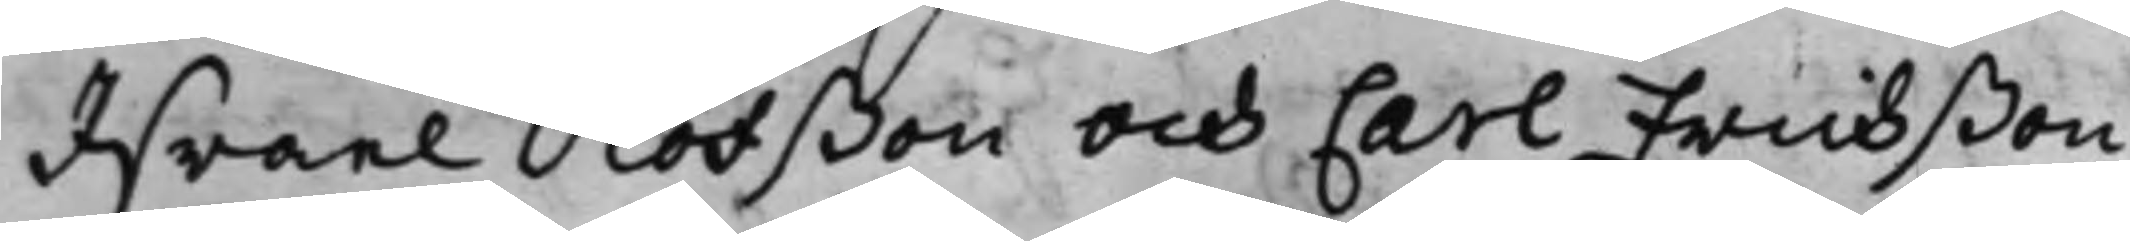Israel Olofßon och Carl Erichßon
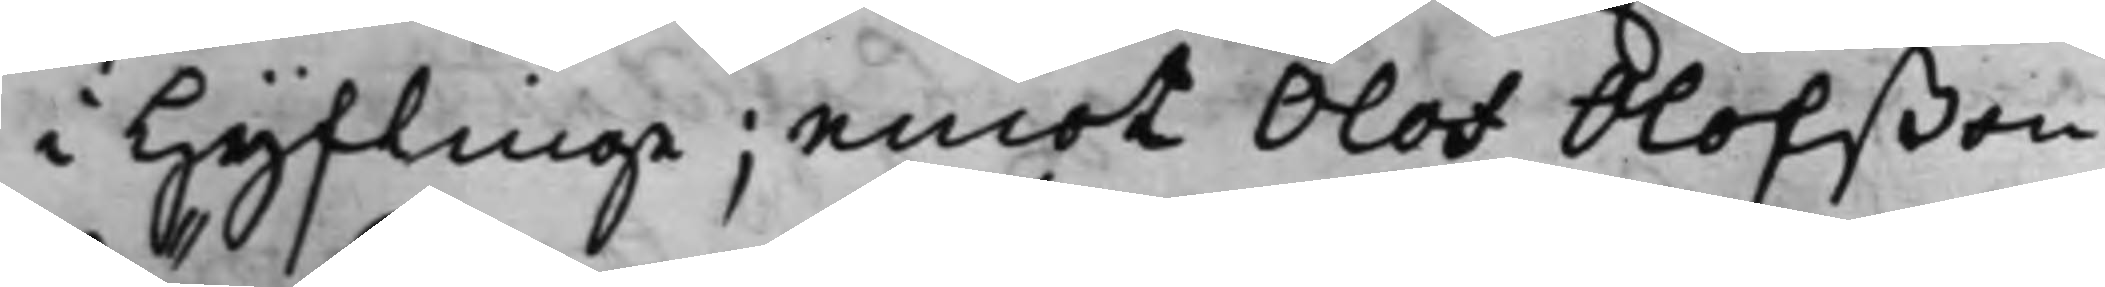i Hyflinge; emot Olof Olofßon
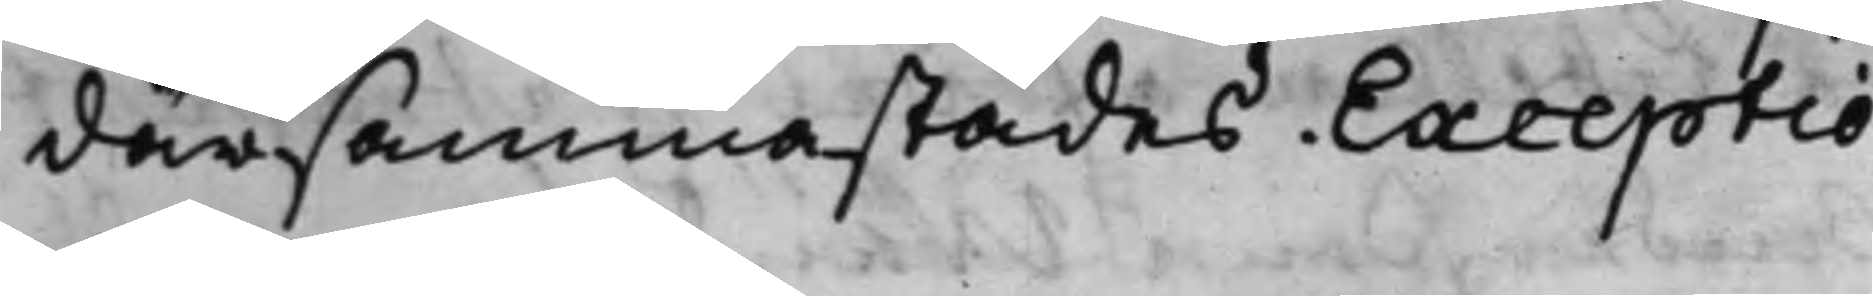därsammastädes. Exceptio.
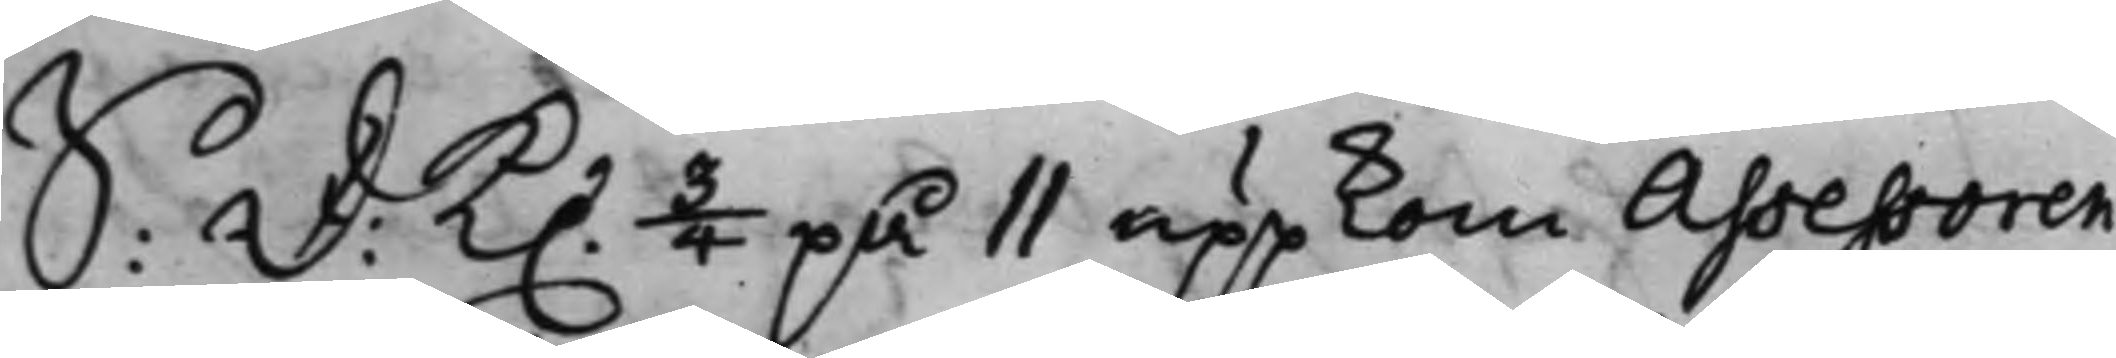S: D: K. 3/4 på 11 uppkom Assessoren
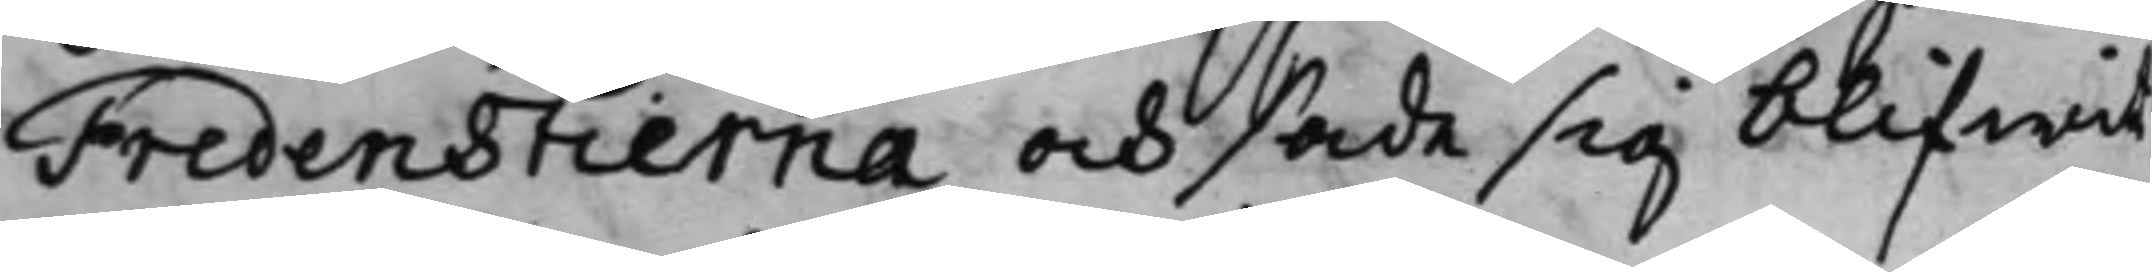Fredenstierna och sade sig blifwit
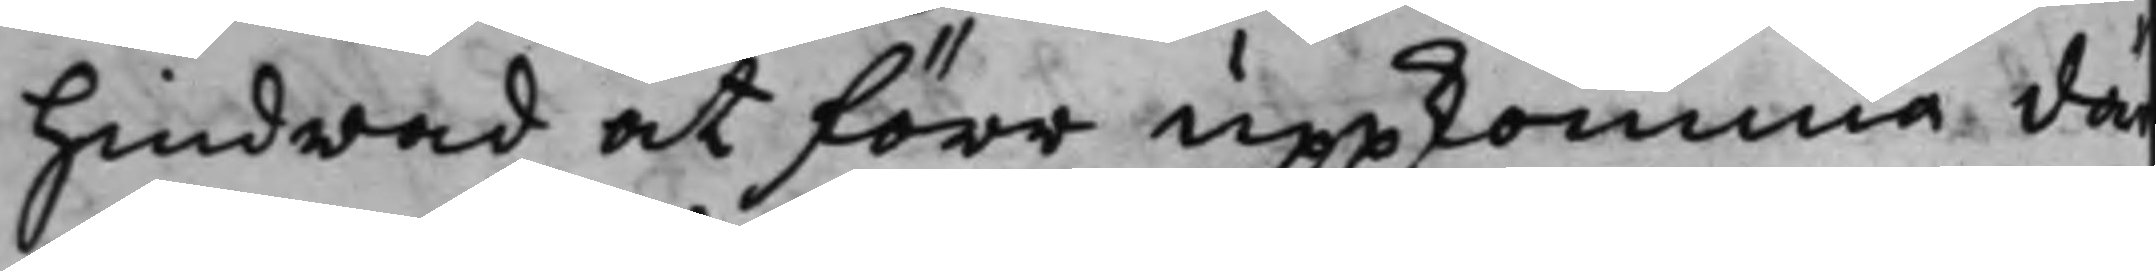hindrad at förr uppkomma där¬
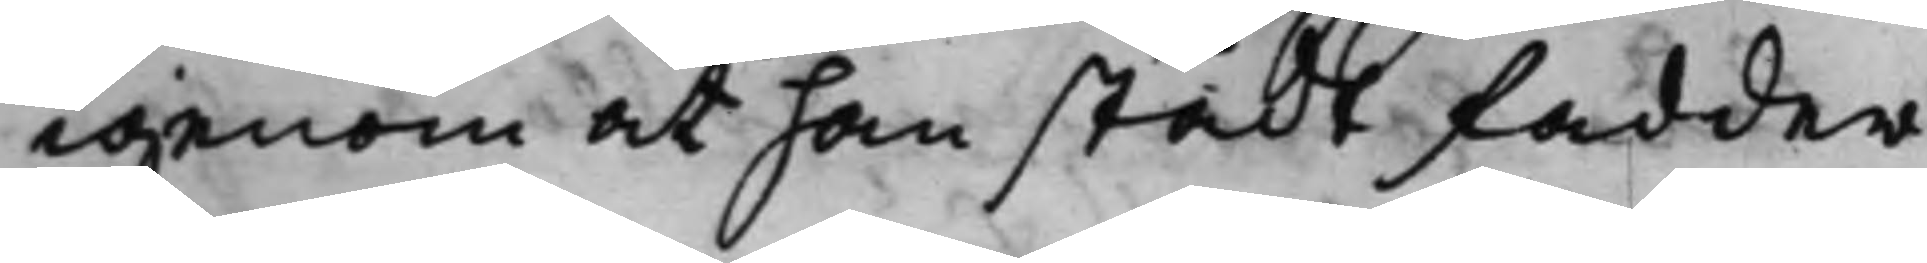igenom at han stådt fadder.
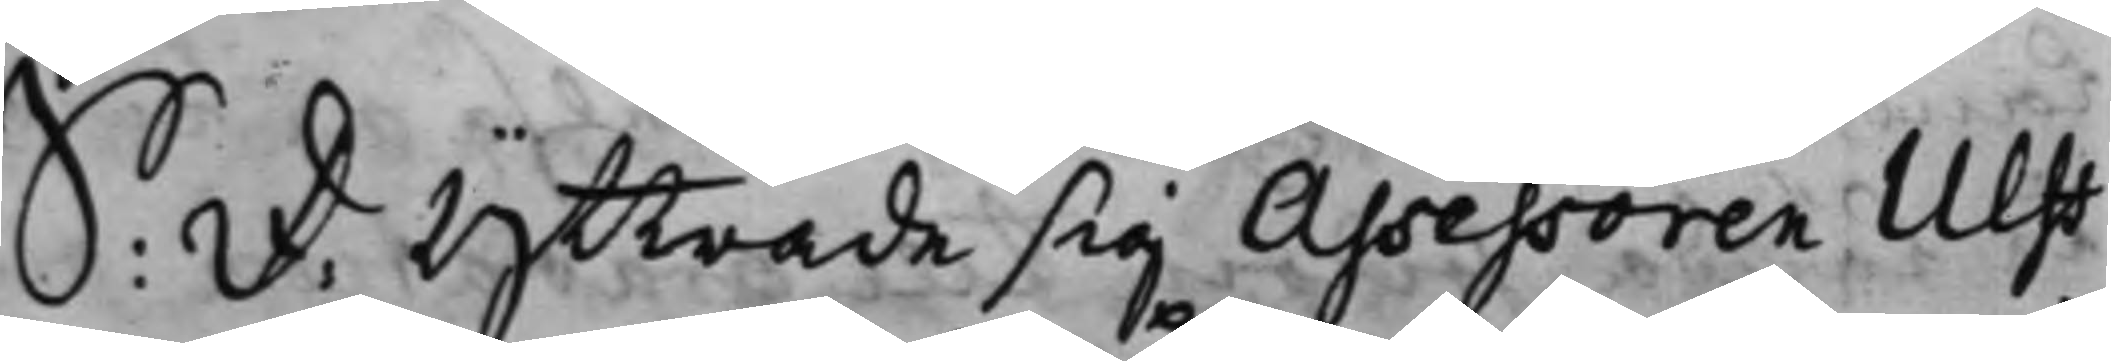S: D: yttrade sig Assessoren Ulff
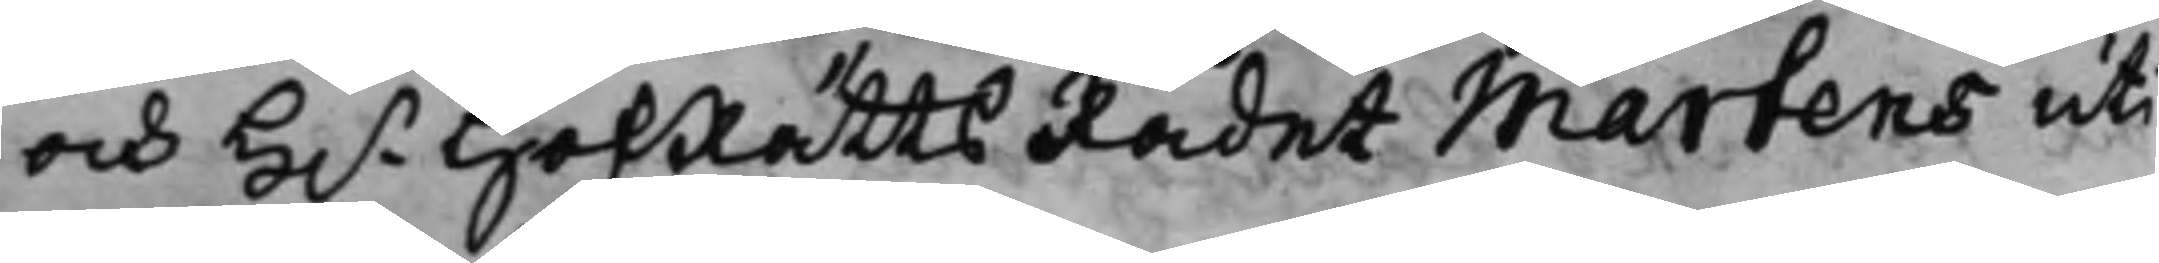och H.r HofRättsRådet Martens uti
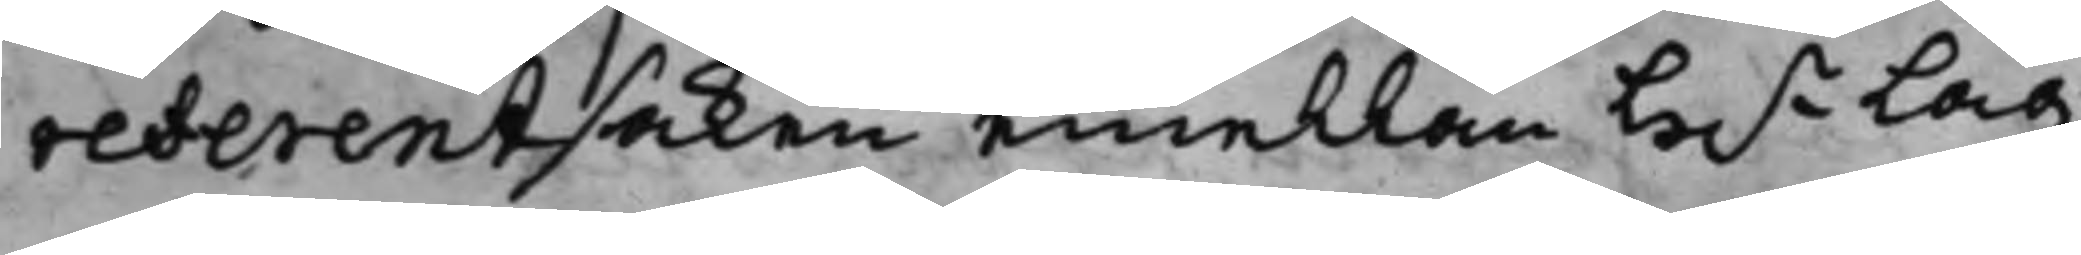referentsaken emellan H.r Lag¬
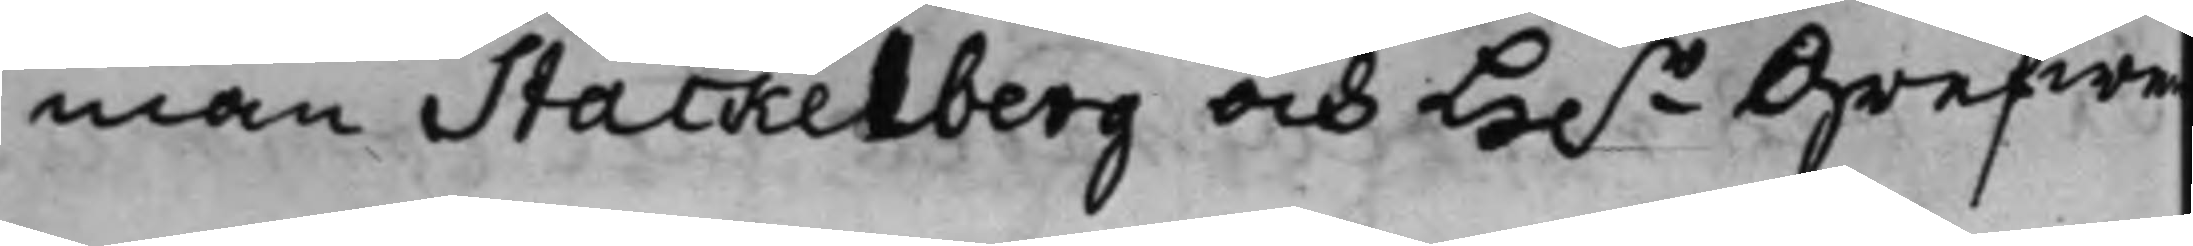man Stackelberg och H.r Grefwe
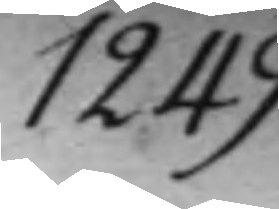1249.
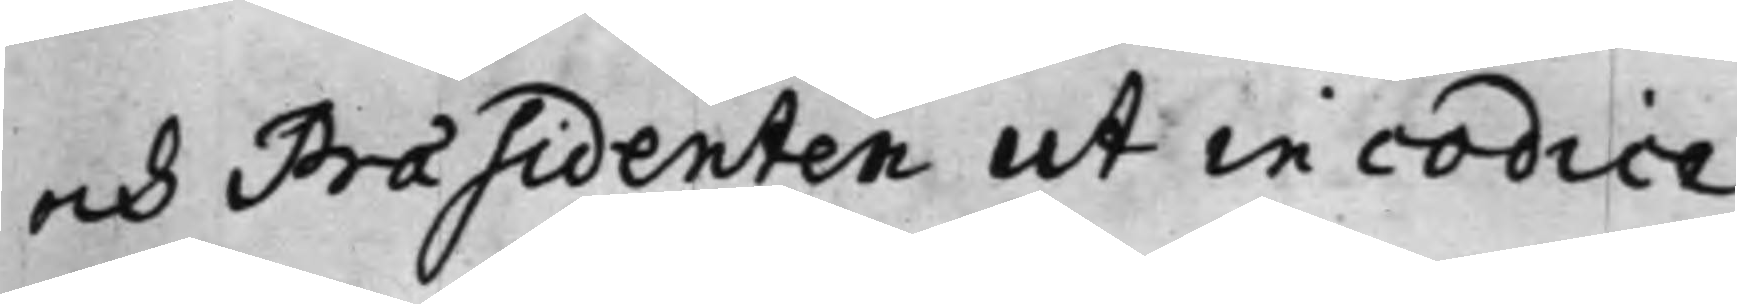och Præsidenten ut in codice.
